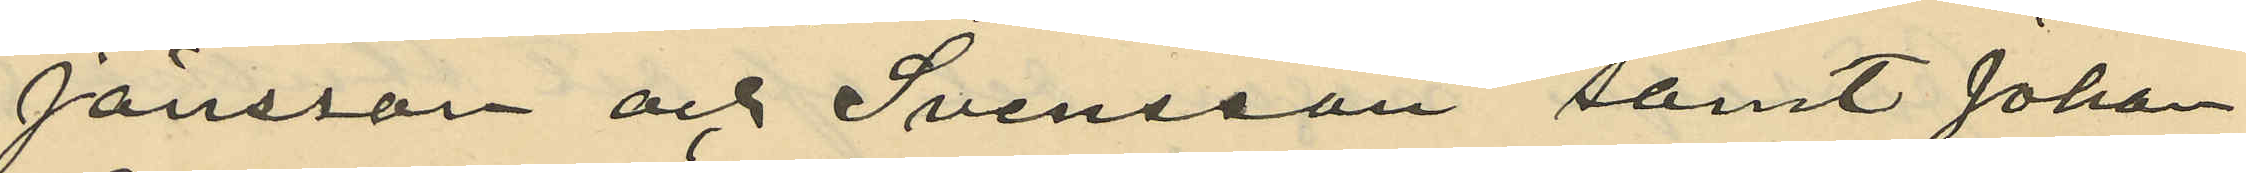Jönsson och Svensson samt Johan
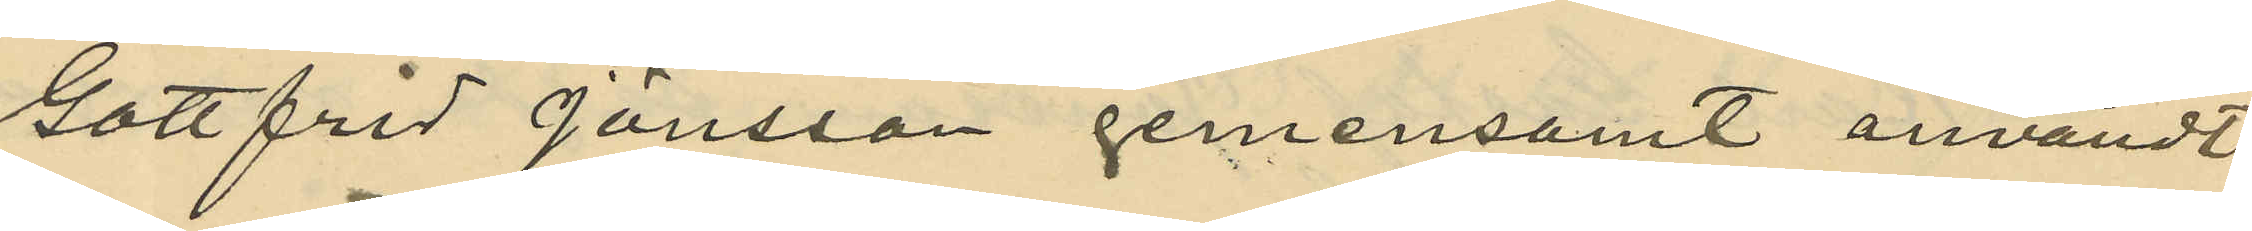Gottfrid Jönsson gemensamt användt
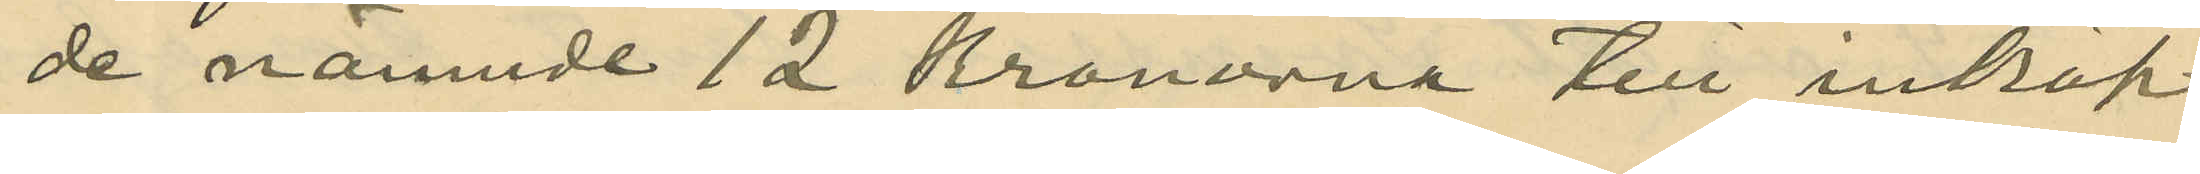de nämnde 12 Kronorna till inköp
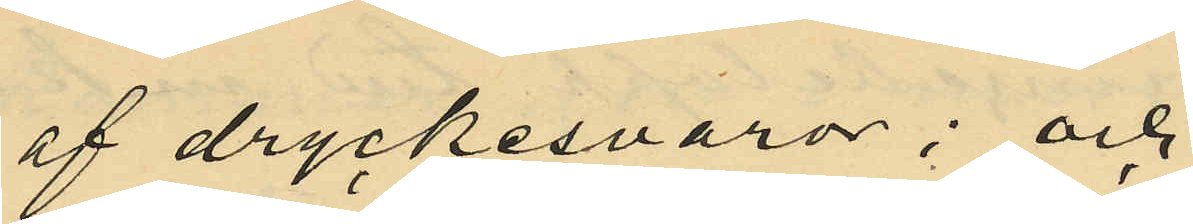af dryckesvaror; och
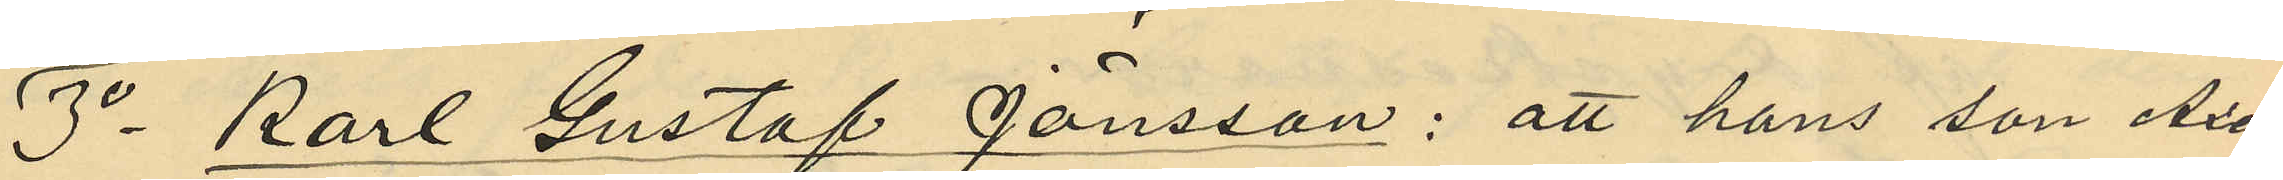3o Karl Gustaf Jönsson: att hans son Axel
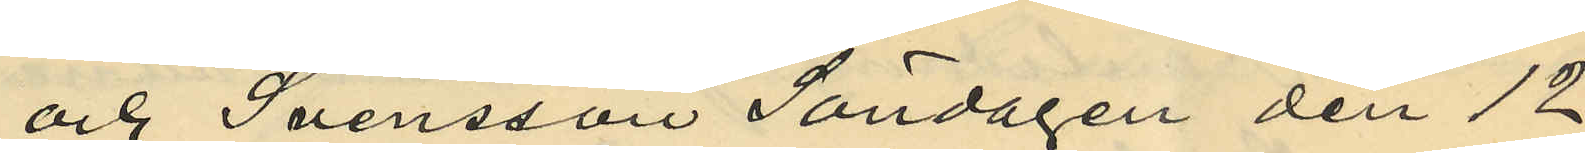och Svensson Söndagen den 12
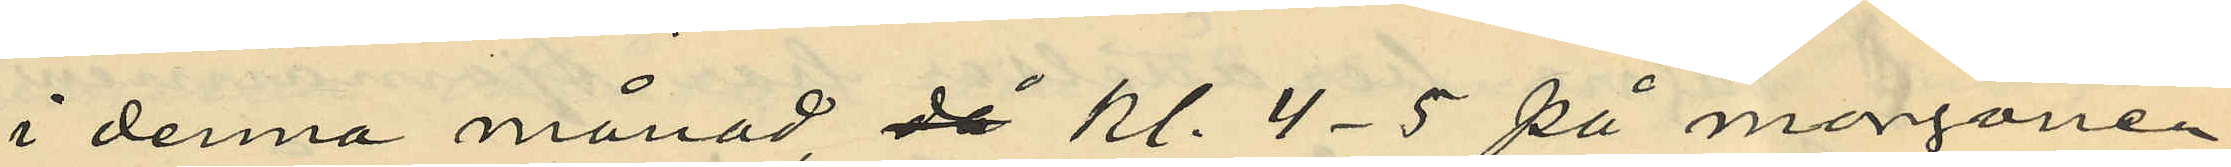i denna månad då kl. 4-5 på morgonen
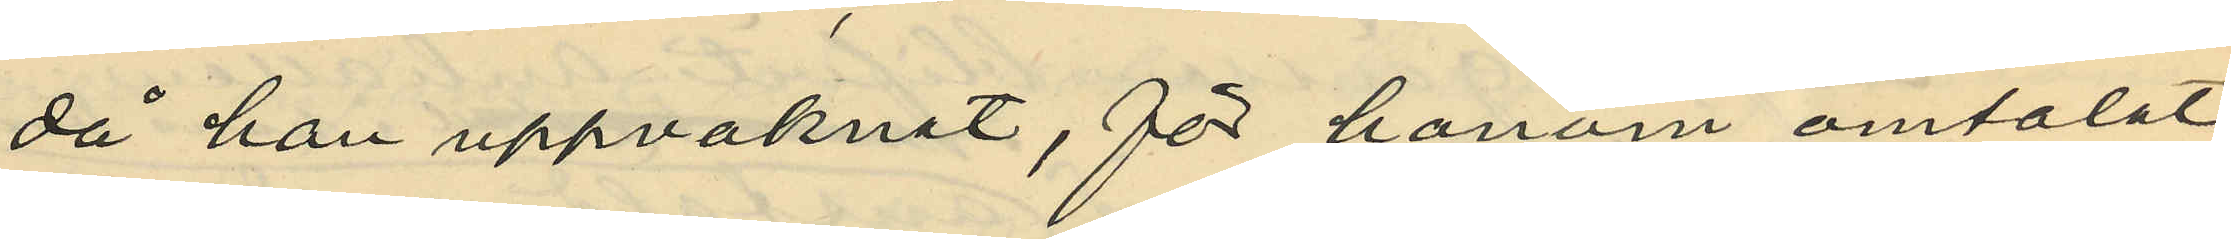då han uppvaknat, för honom omtalat
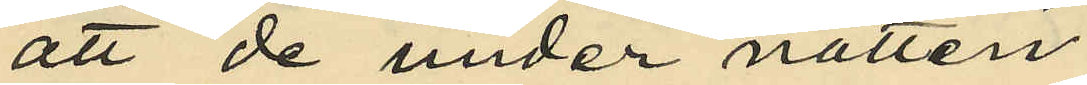att de under natten
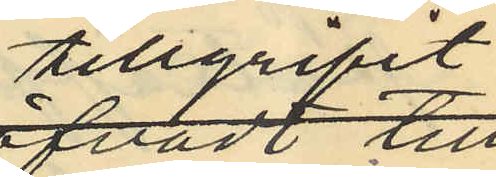tillgripit
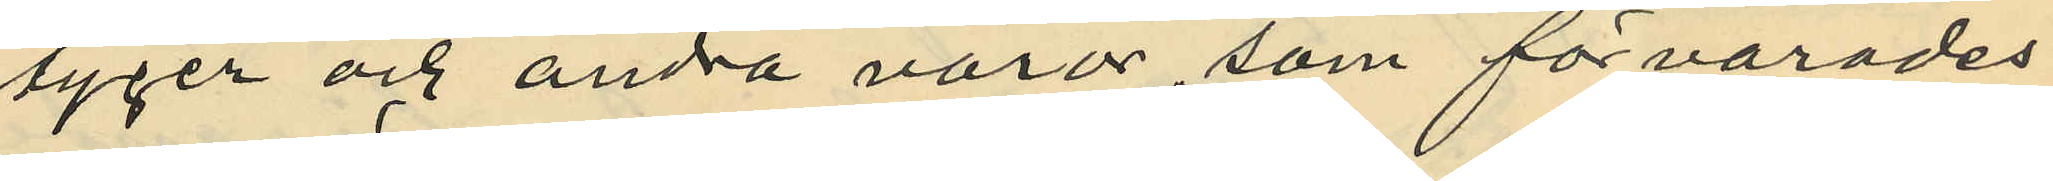tyger och andra varor, som förvarades
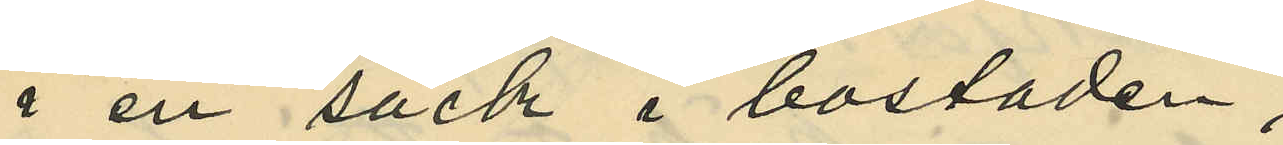i en säck i bostaden;
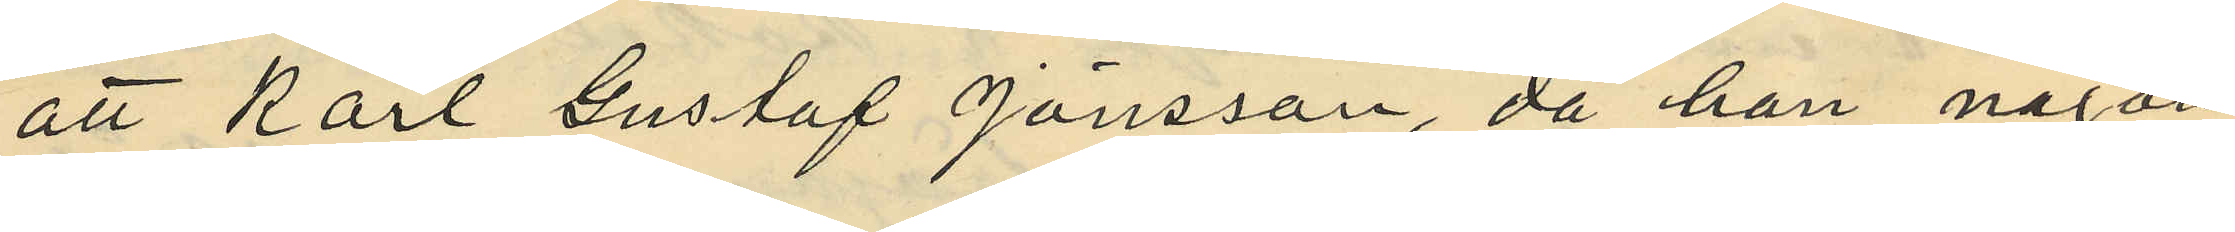att Karl Gustaf Jönsson, då han någon
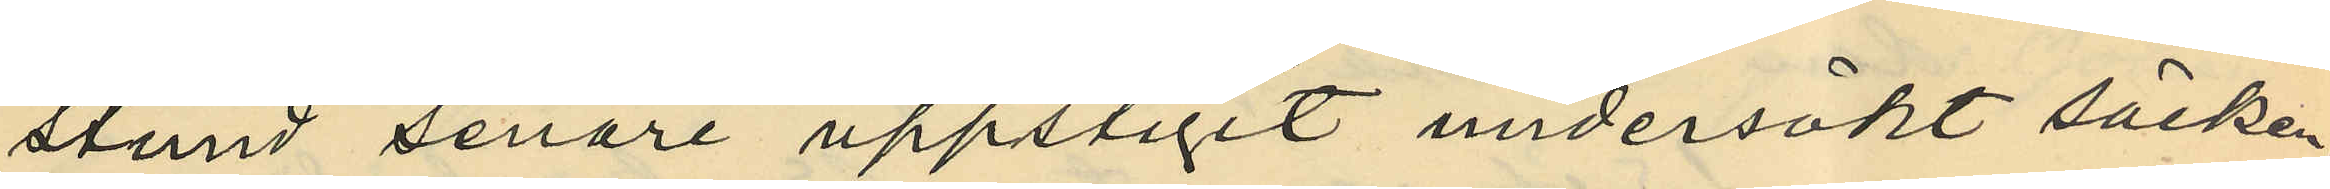stund senare uppstigit undersökt säcken
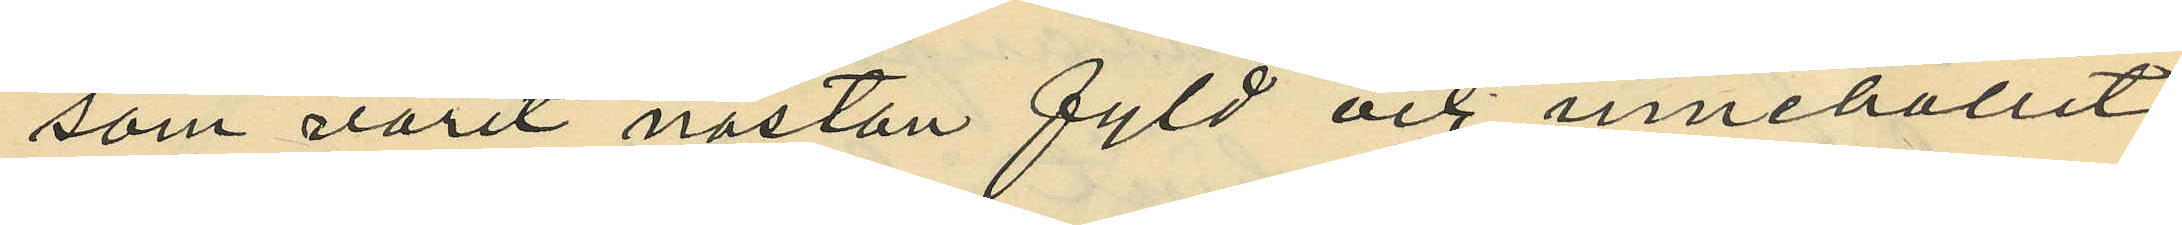som varit nästan fyld och innehållit
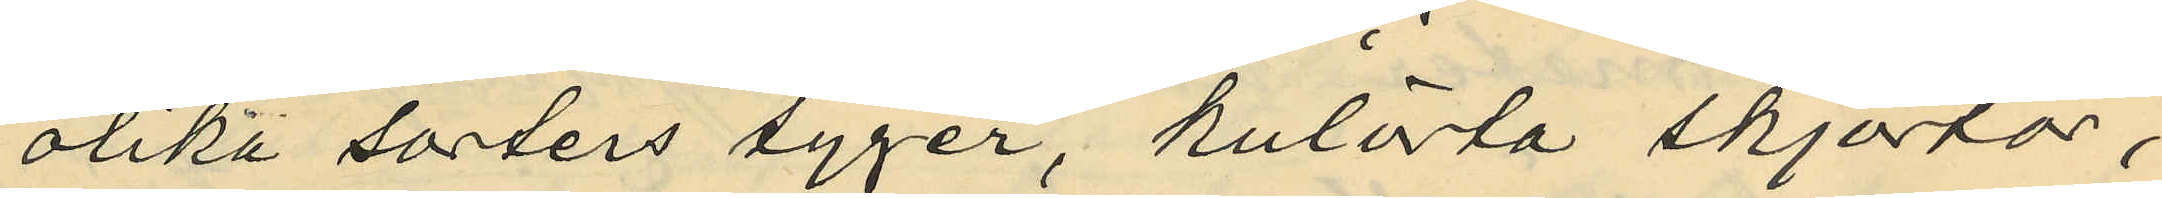olika sorters tyger, kulörta skjortor,
